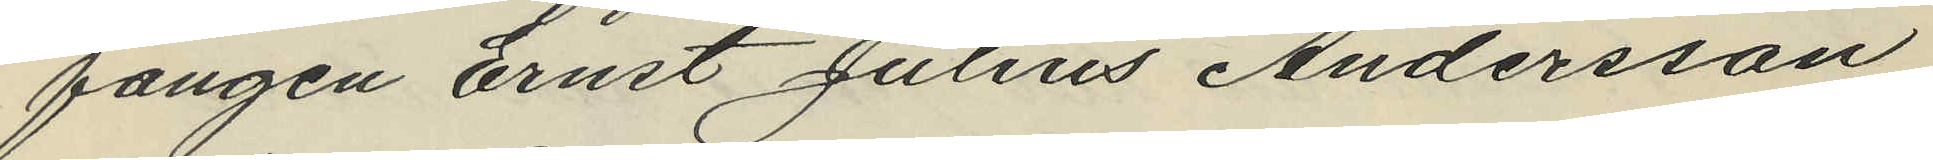fången Ernst Julius Andersson
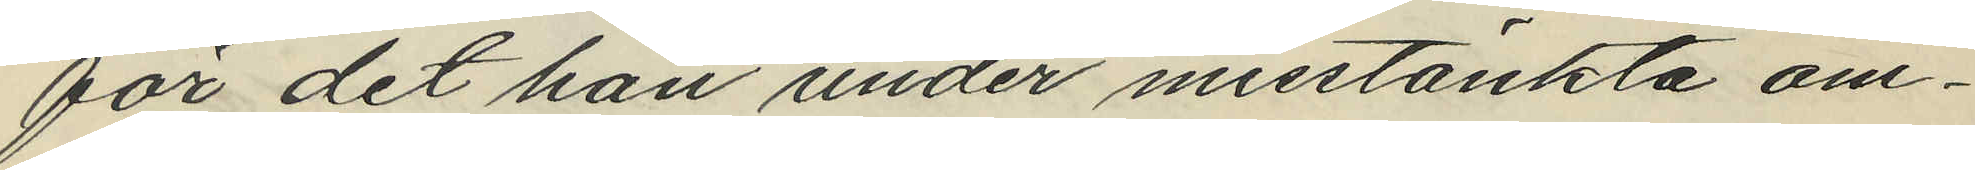för det han under misstänkta om¬
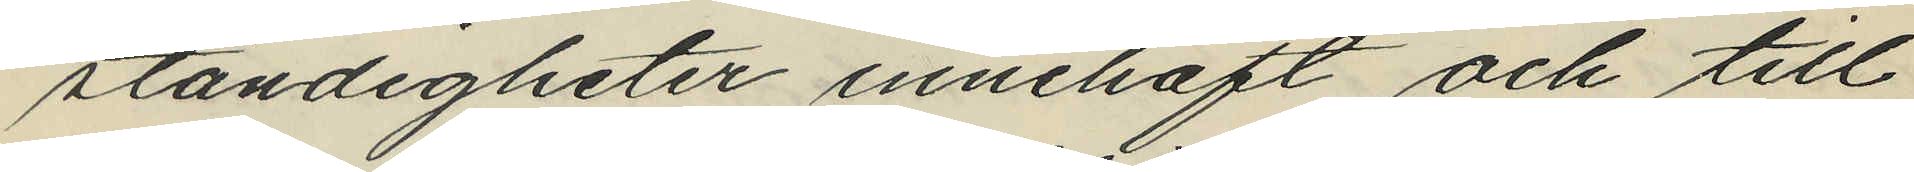ständigheter innehaft och till
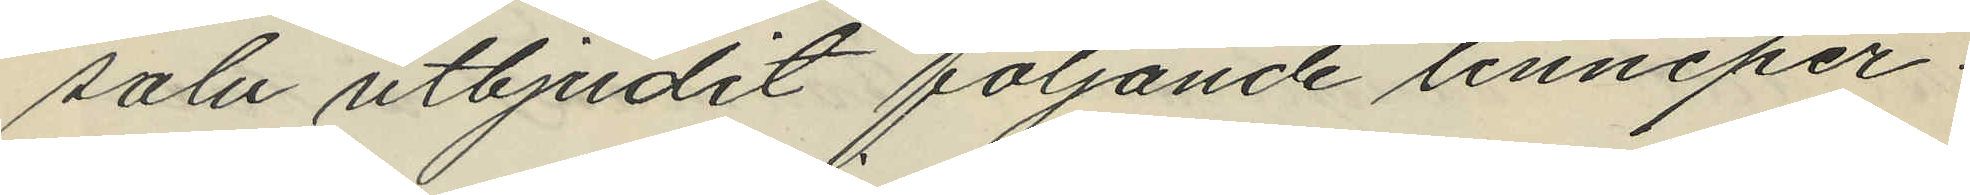salu utbjudit följande linneper¬
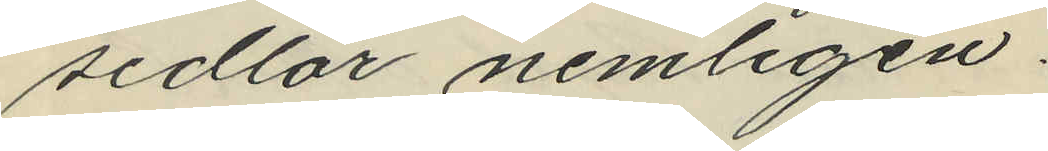sedlar nemligen:
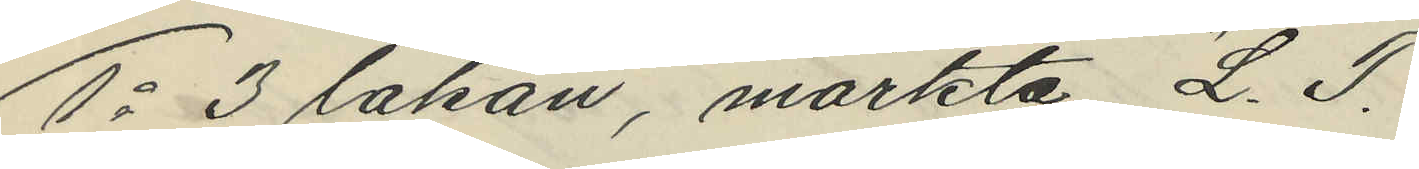1o 3 lakan, märkta "L. T."
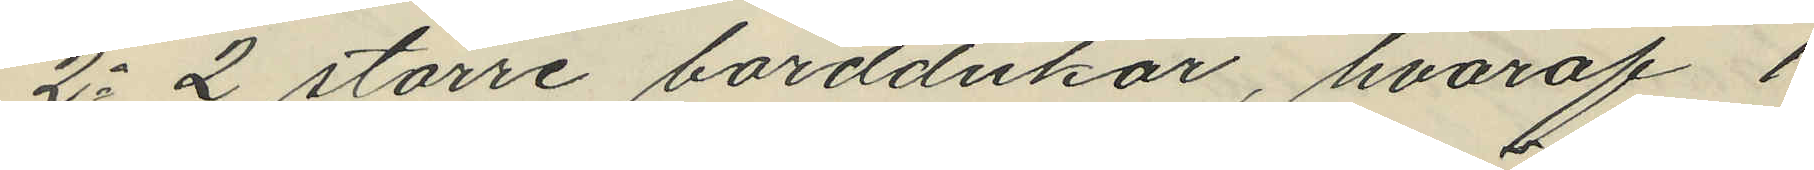2o 2 större borddukar, hvaraf 1
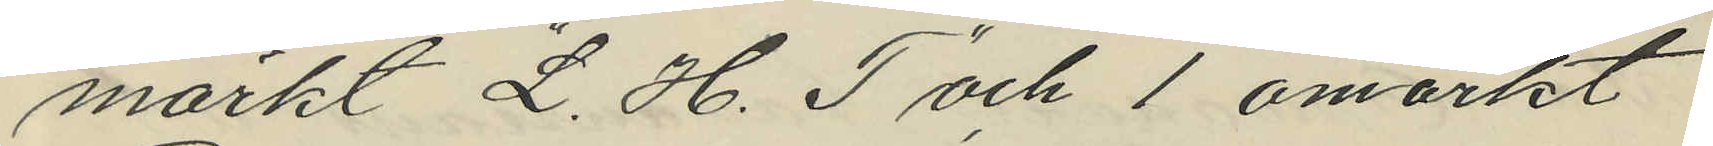märkt "L. H. T" och 1 omärkt
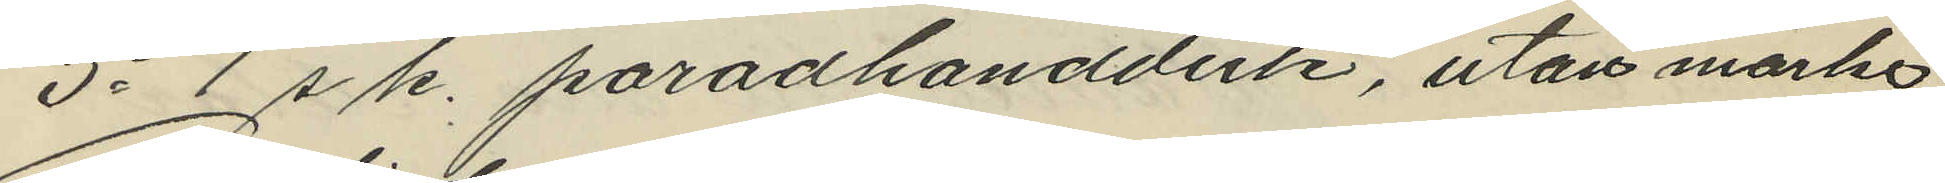3o 1 s. k. paradhandduk, utan märke
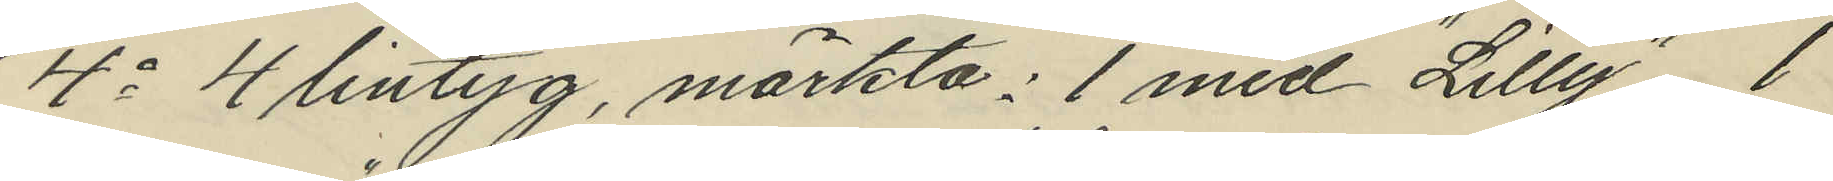4o 4 lintyg, märkta: 1 med "Lilly", 1
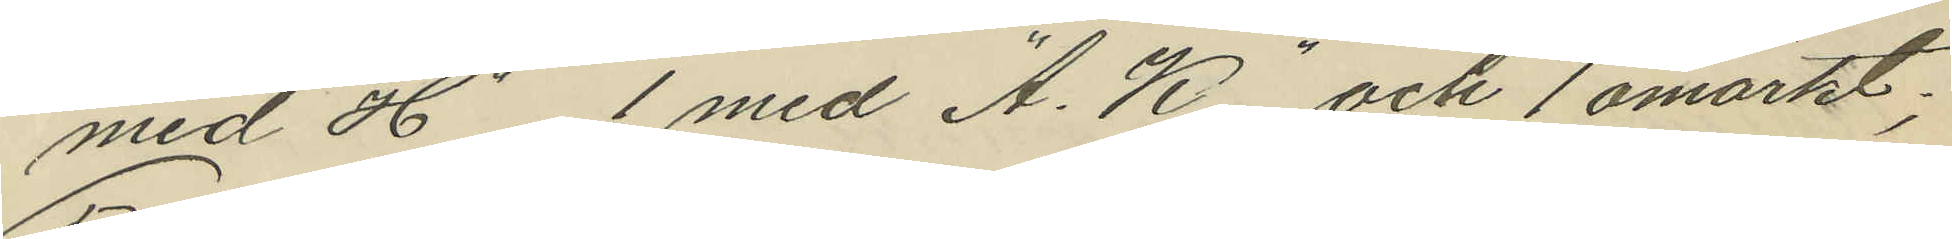med "H", 1 med "A. K." och 1 omärkt;
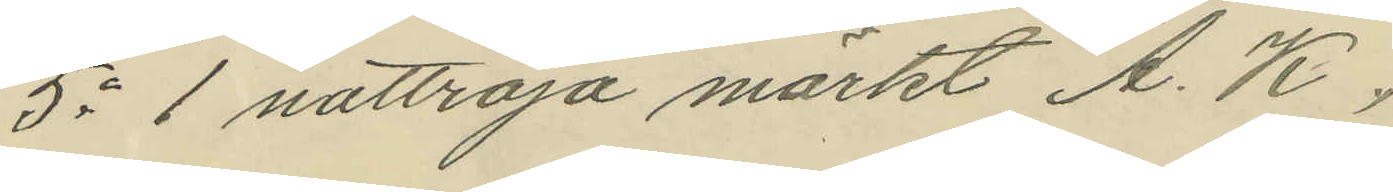5o 1 nattröja märkt "A. K.",
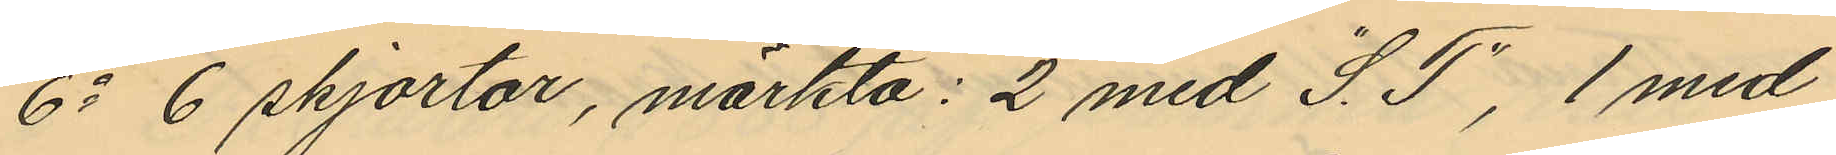6o 6 skjortor, märkta: 2 med "S. T", 1 med
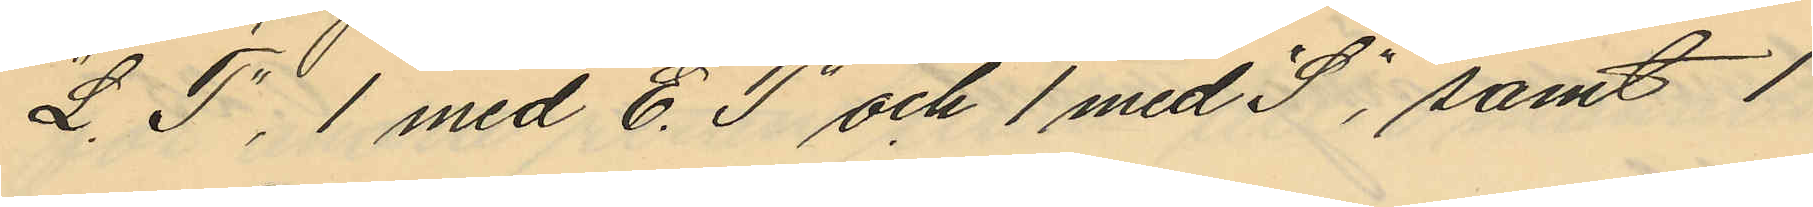"L. T", 1 med "E. T" och 1 med "S", samt 
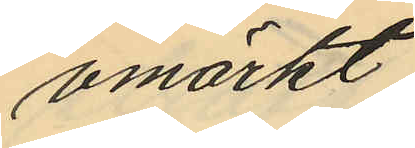omärkt.
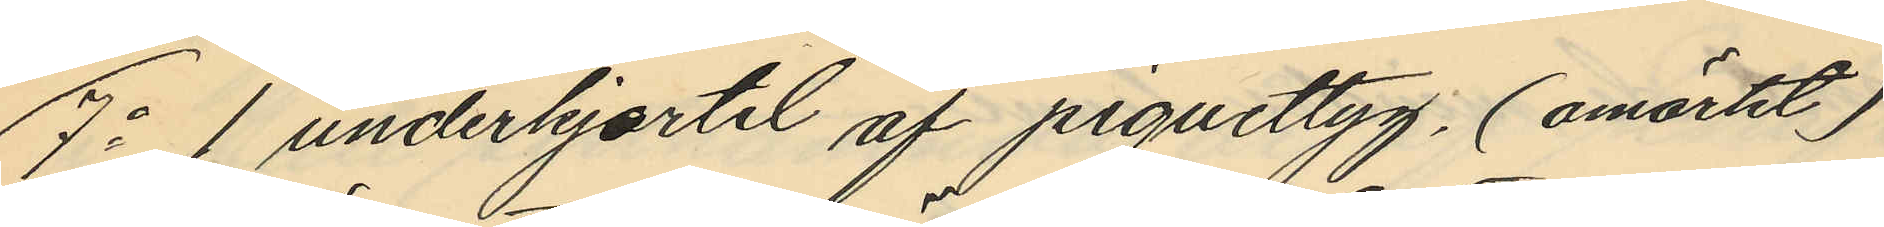7o 1 underkjortel af piquettyg, (omärkt)
